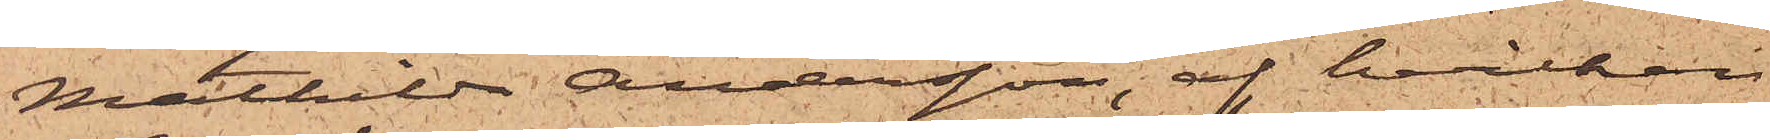Mathilda Andersson, af hvilken
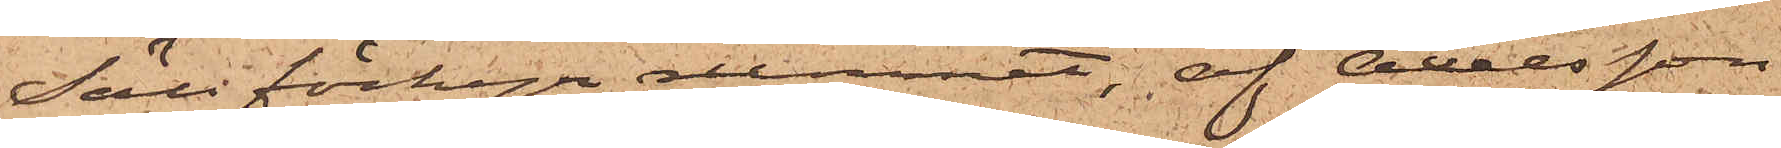Säll förhyr rummet, af Axelsson
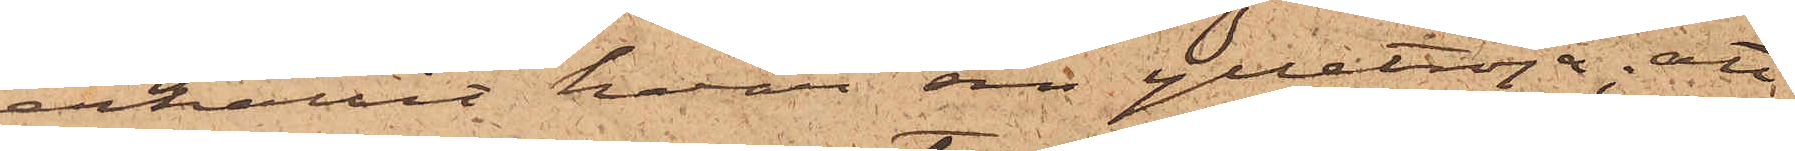erhållit hvar sin ylletröja; att
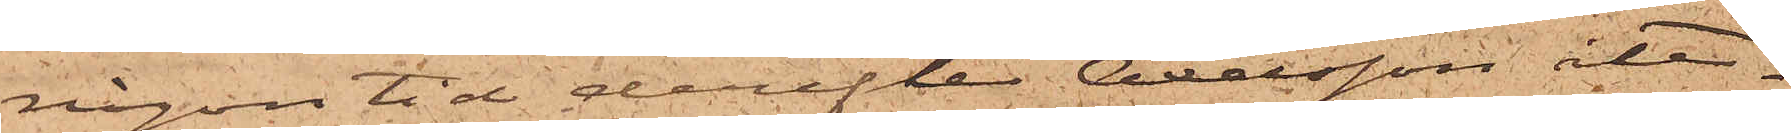någon tid derefter Axelsson åter¬
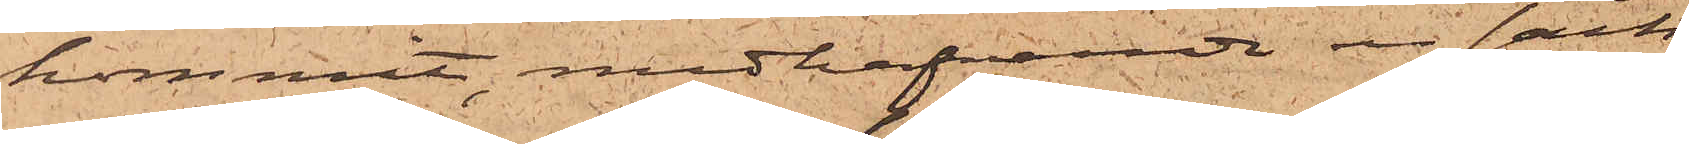kommit, medhafvande en säck
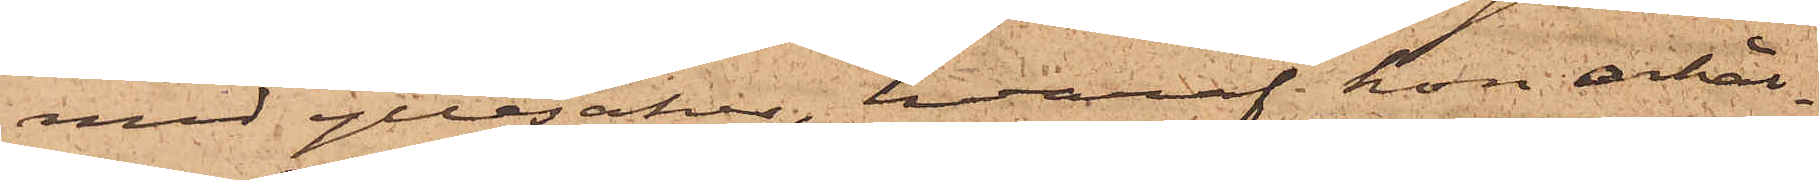med yllesaker, hvaraf hon erhål¬
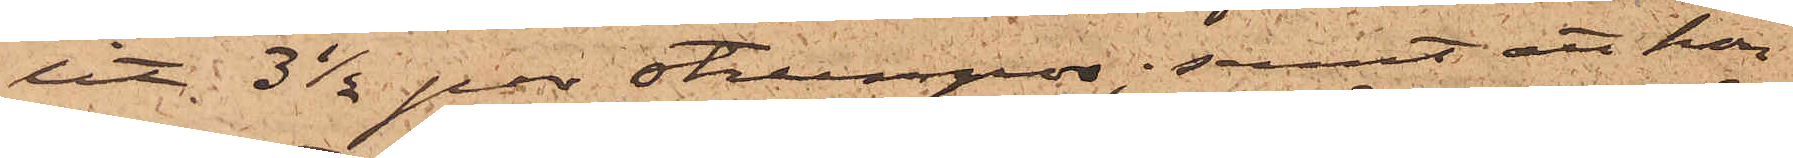lit 3 1/2 par stumpor; samt att hon
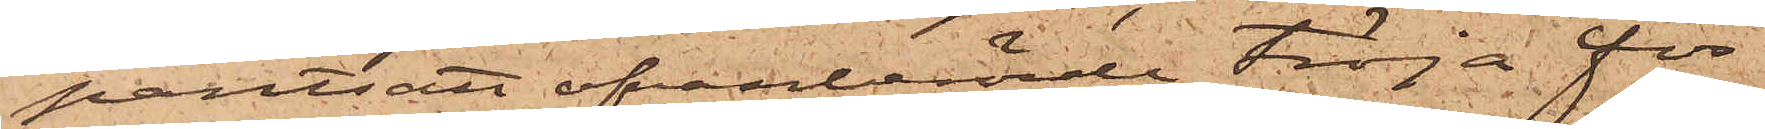pantsatt ofvanberörde tröja för
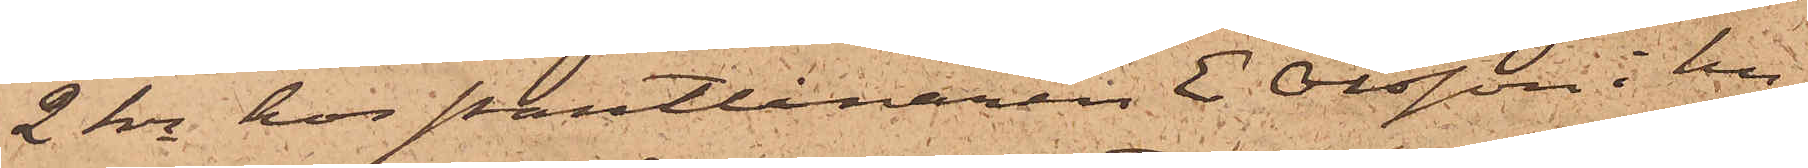2 kr hos Pantlånaren E. Olsson i hu¬
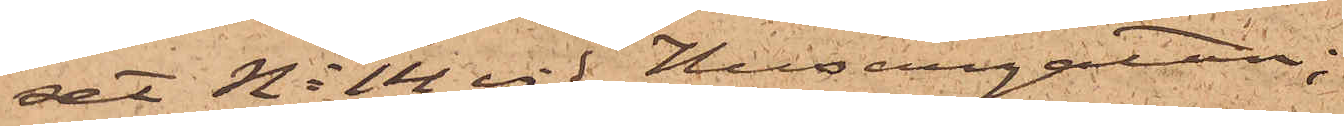set No 14 vid Husargatan;
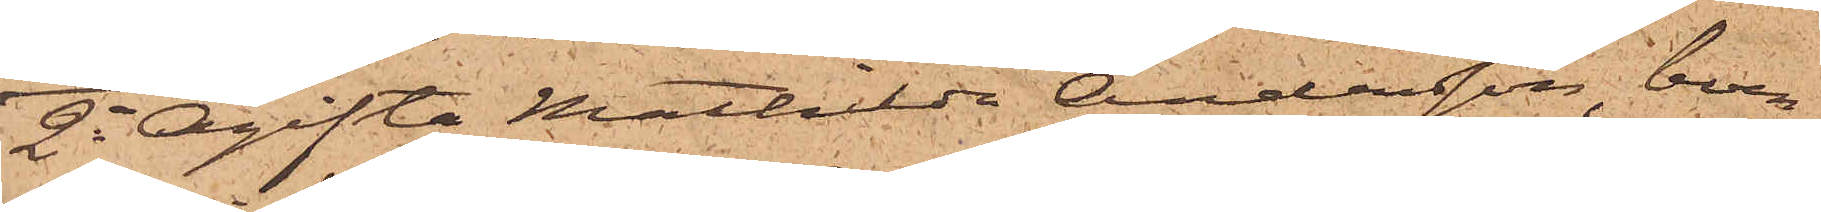2o Ogifta Mathilda Andersson, boen¬
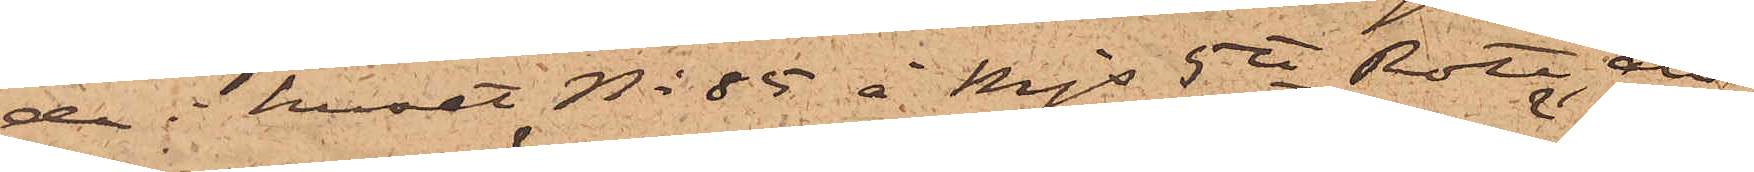de i huset No 85 å Mjs 5te Rote, att
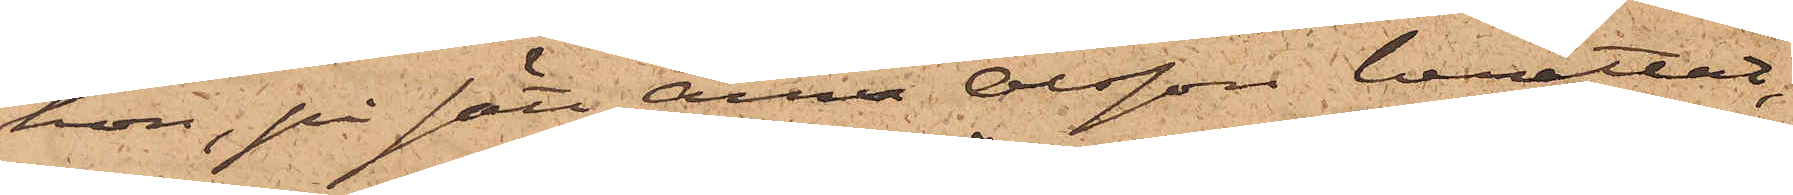hon, på sätt Anna Olsson berättat,
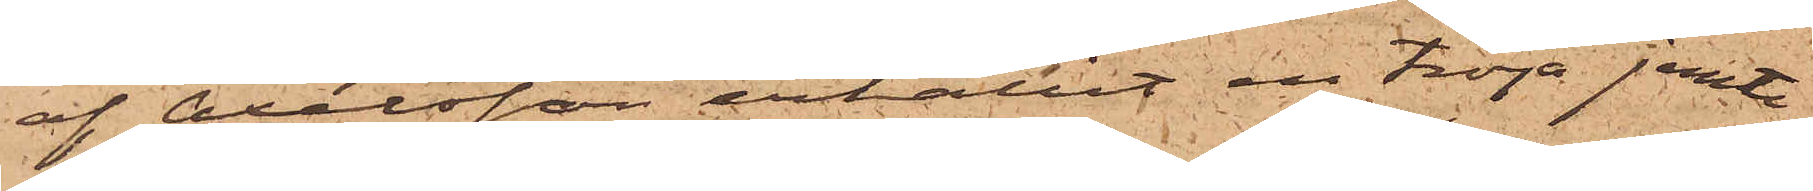af Axelsson erhållit en tröja jemte
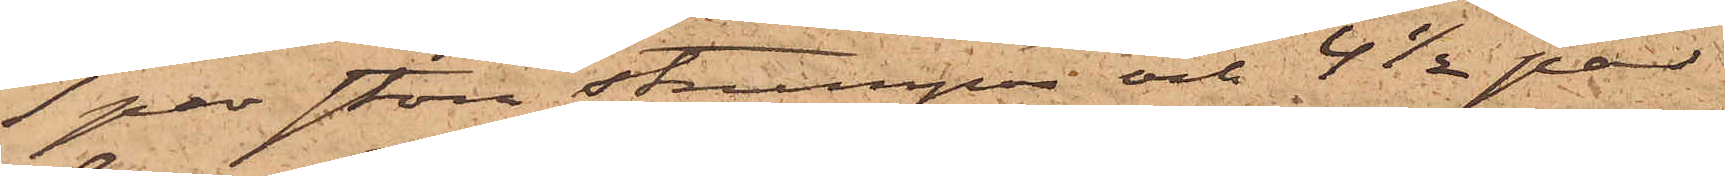1 par stora strumpor och 4 1/2 par
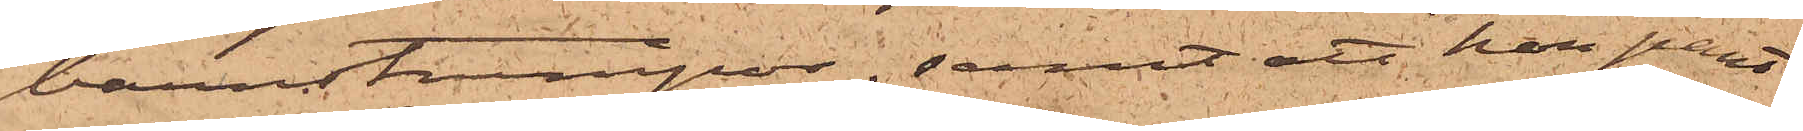barnstrumpor; samt att hon pant¬
